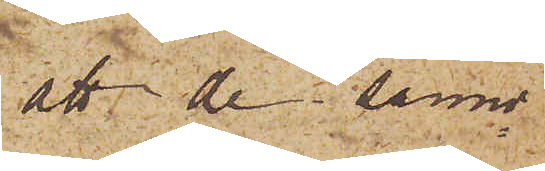att de sanno¬
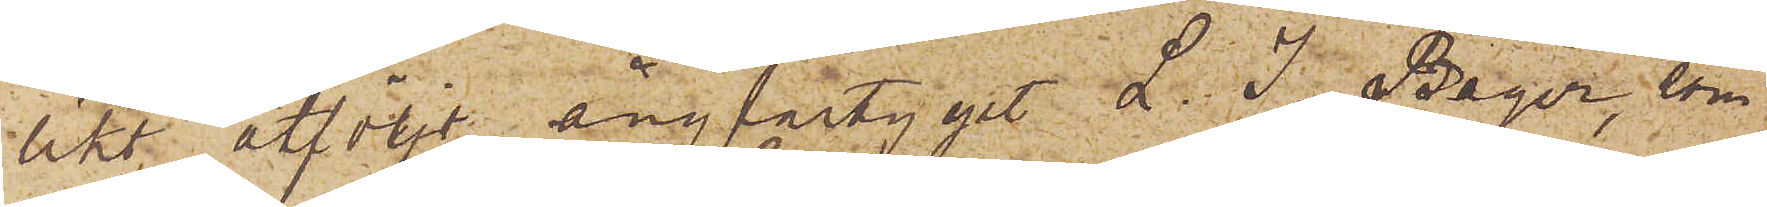likt åtföljt ångfartyget L. J. Bager, som
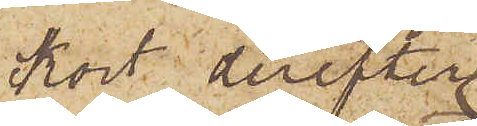kort derefter
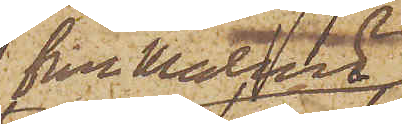från Malmö
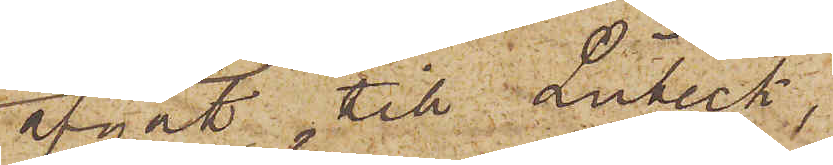afgått till Lübeck,
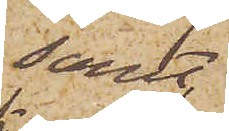samt
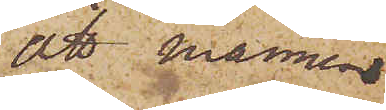att mannen
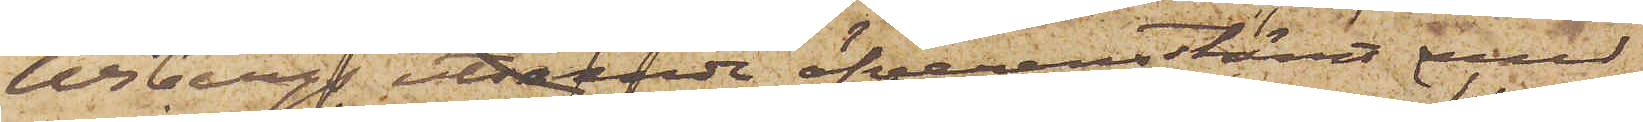Wibergs utseende öfverensstämt med
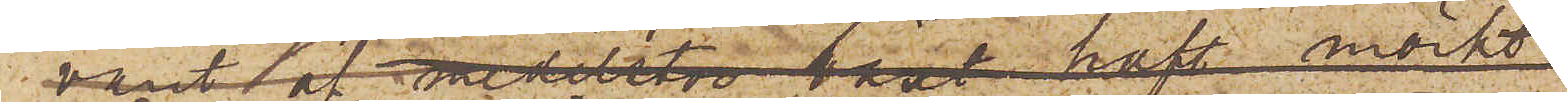Tjäders uppgifne signalement.
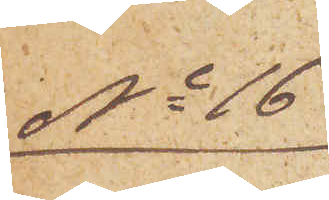No 16
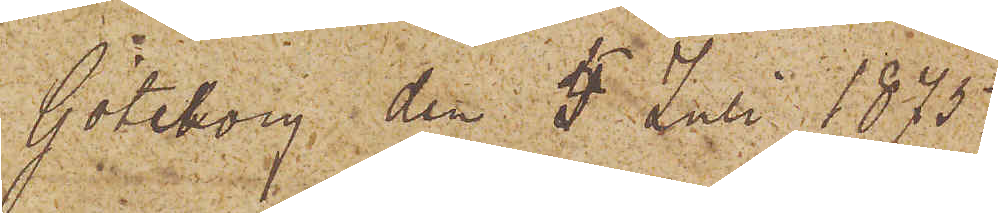Göteborg den 5 Juli 1875.
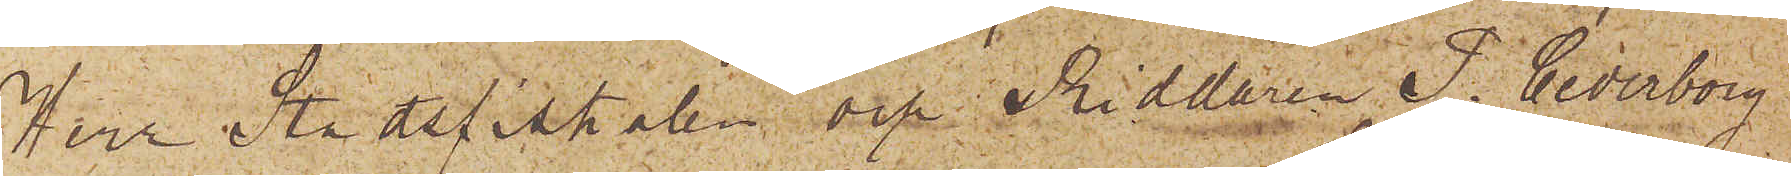Herr Stadsfiskalen och Riddaren P. Cederborg,
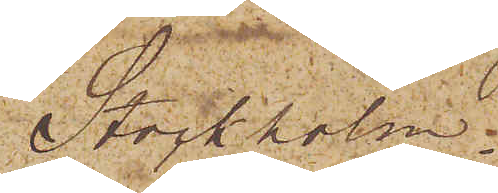Stockholm.
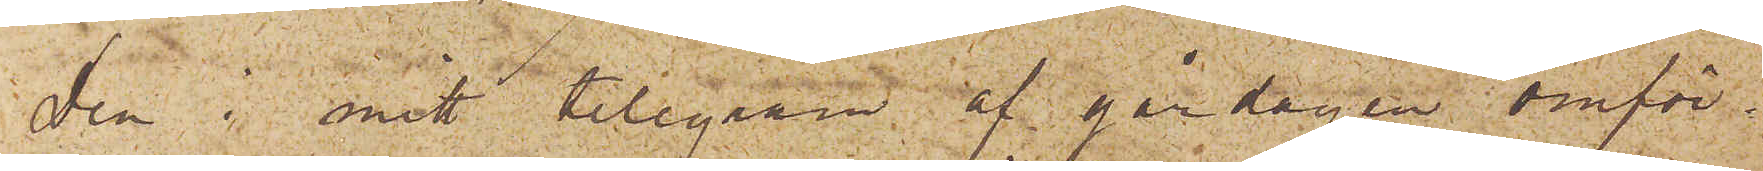Den i mitt telegram af gårdagen omför¬
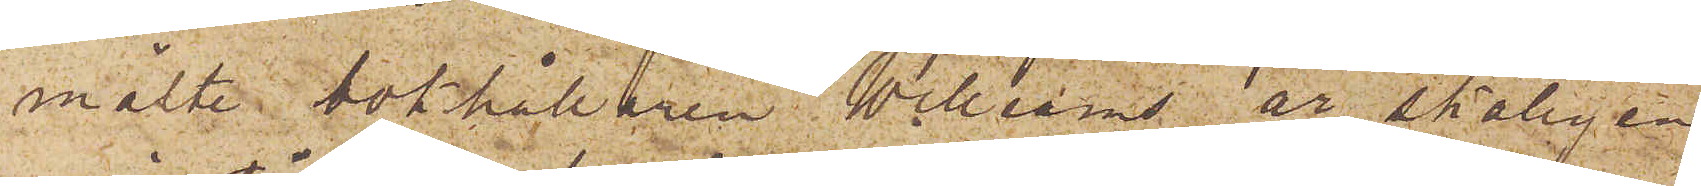mälte bokhållaren Williams är skäligen
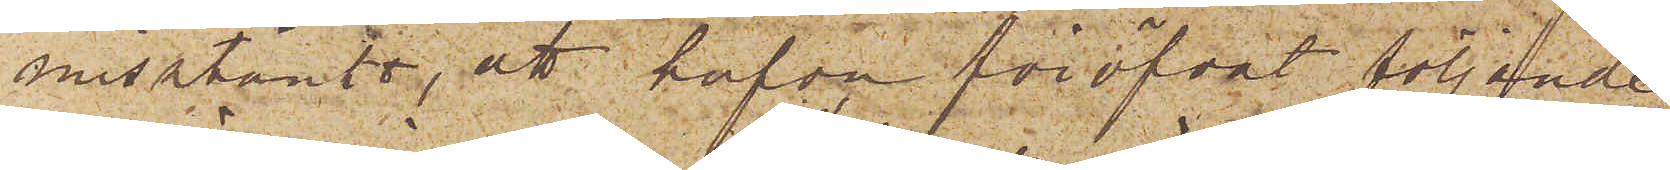misstänkt, att hafva föröfvat följande
